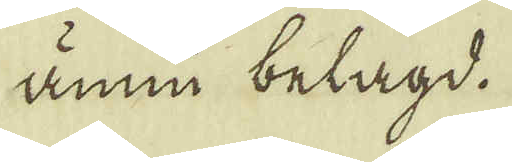ännu belagd.
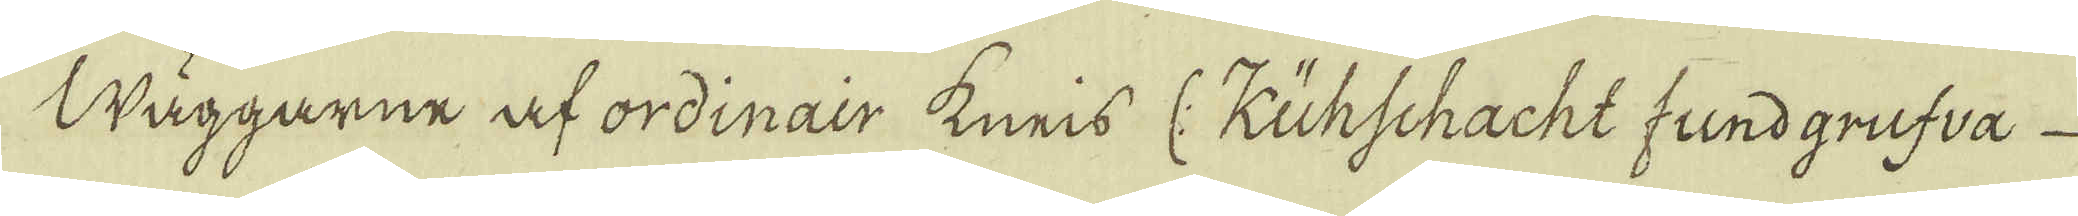Wäggarne at ordinair kneis (: Kuhschacht fundgrufva
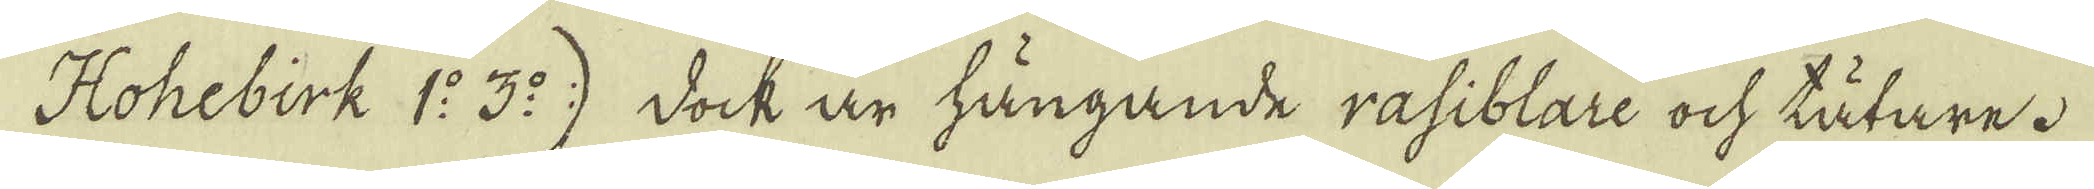Hohebirk 1:o 3:o) dock är hängande rasiblare ock tätare.
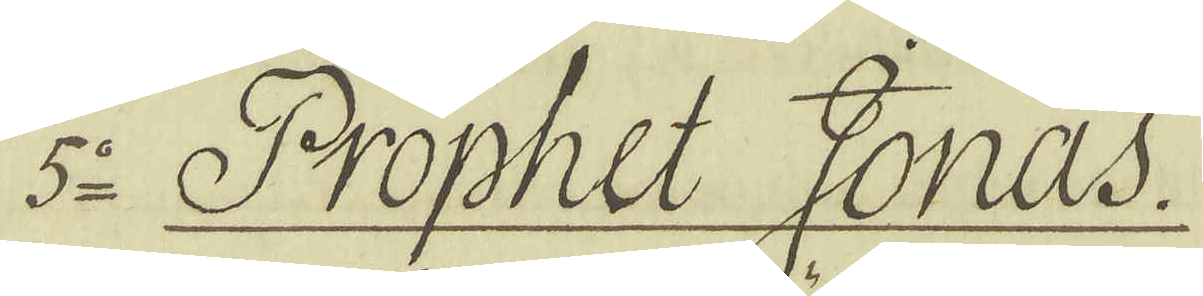5:o Prophet Jonas.
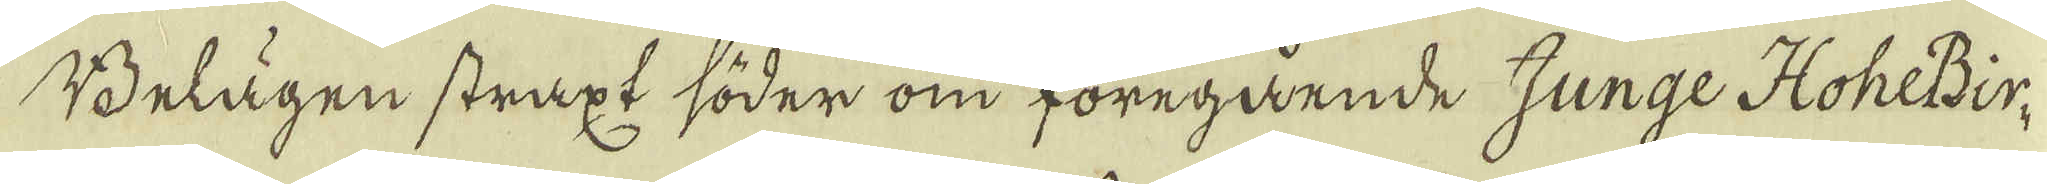Belägen straxt söder om föregående Junge HoheBir-
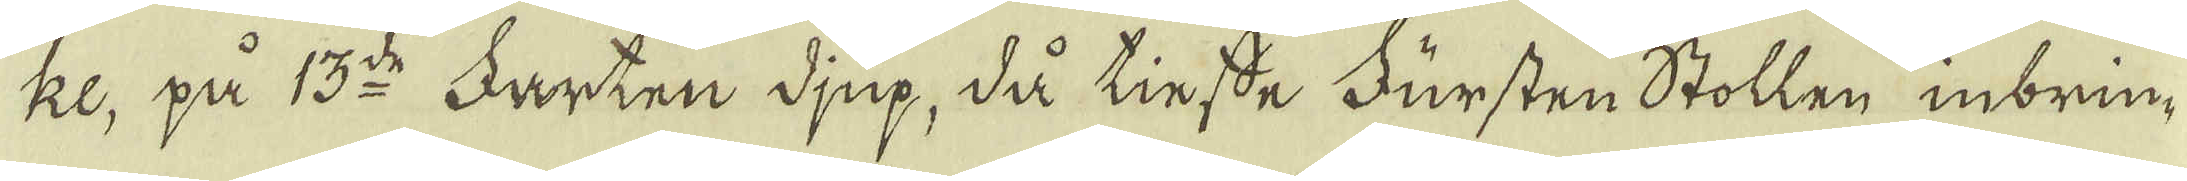ke, på 13:o Farten djup, då tinsde Fursten Stollen inbrun-
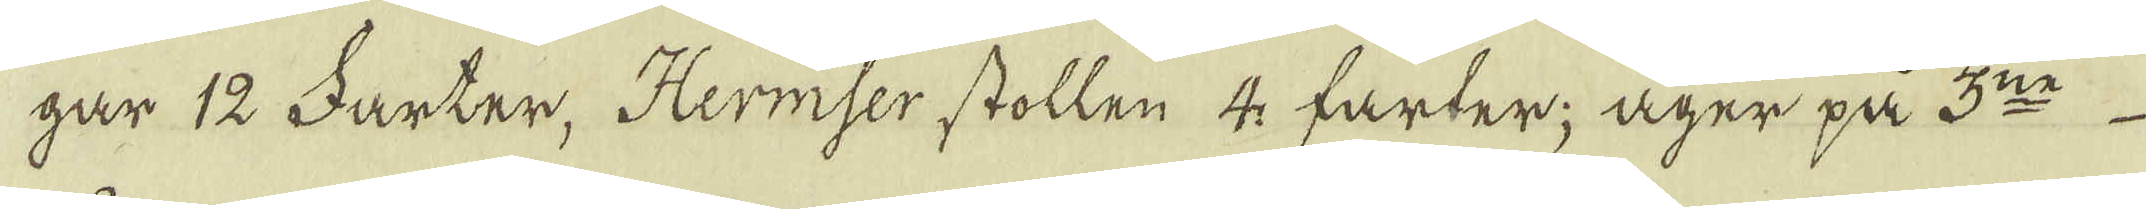gar 12 Farter. Hermser stollen 4 farter; äger på 3:ne
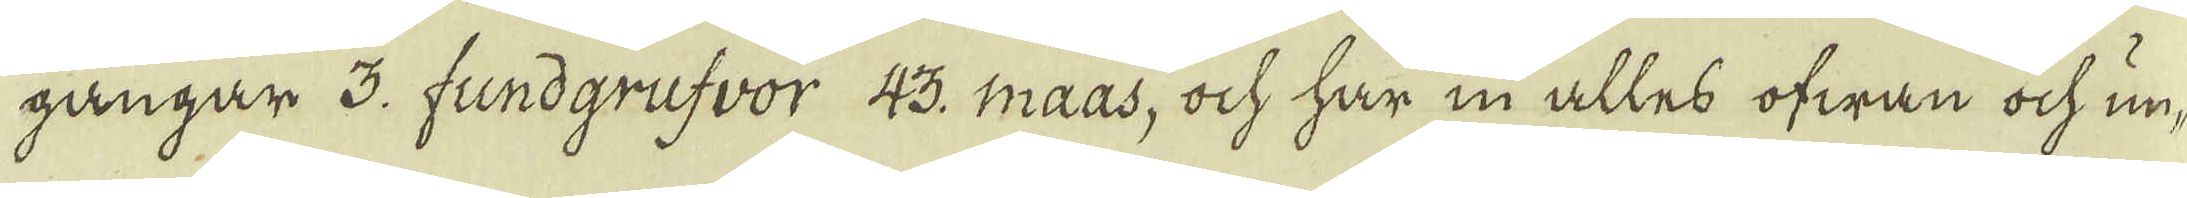gångar 3. fundgrufvor 43. maas, ock har in alles ofwan ock un-
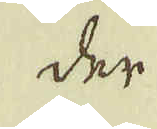der
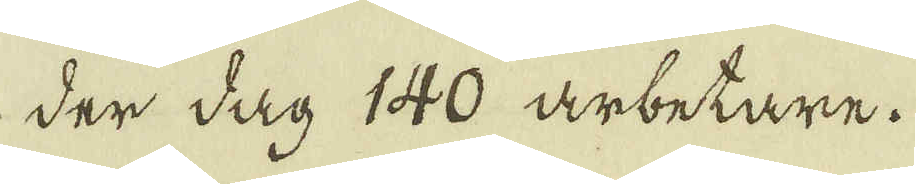der dag 140 arbetare.
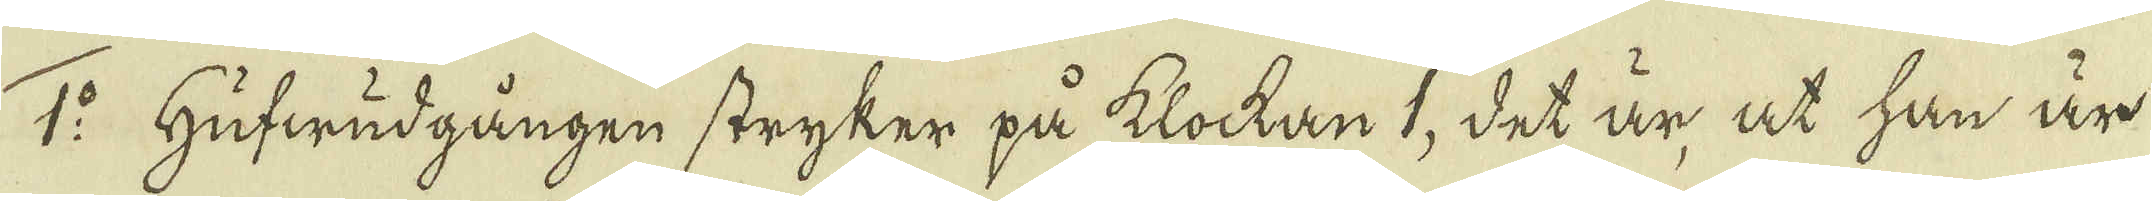1:o Hufwudgången stryker på klockan 1, det är at han är
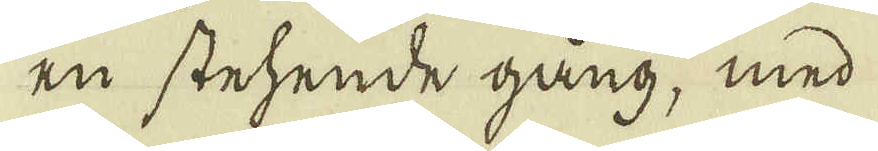en stehende gång, med
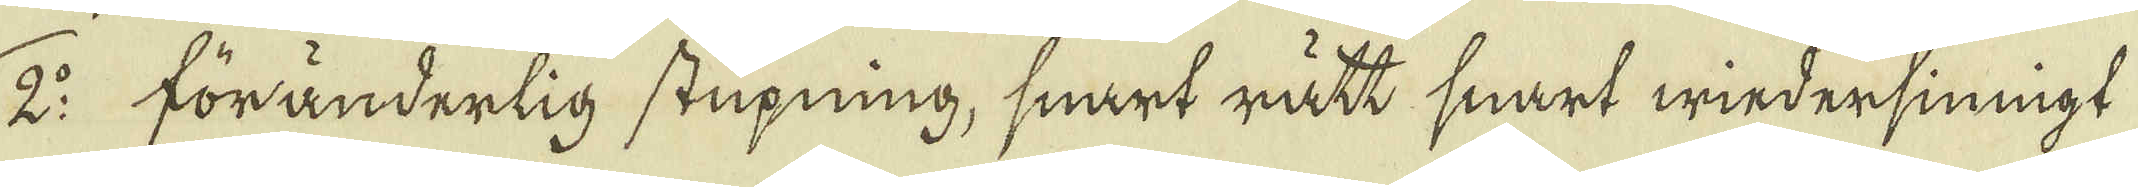2:o förändertig stupning, snart rätt snart windersinnigt
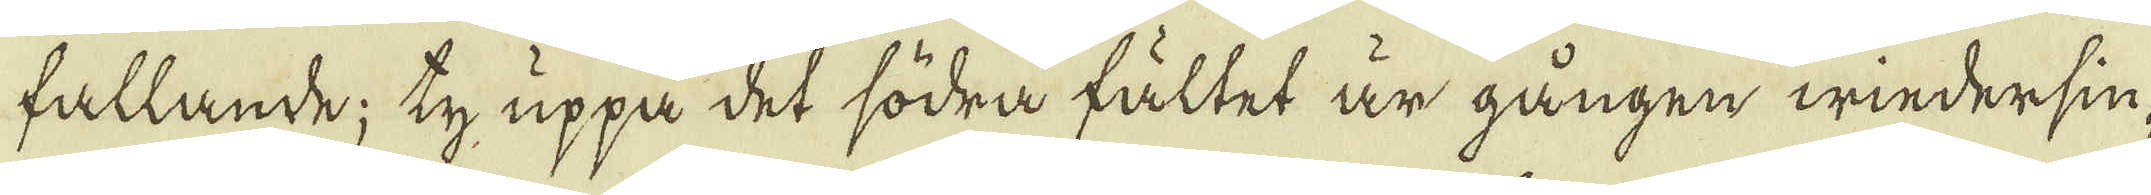fallande; ty uppå det södra fältet är gången windersin-
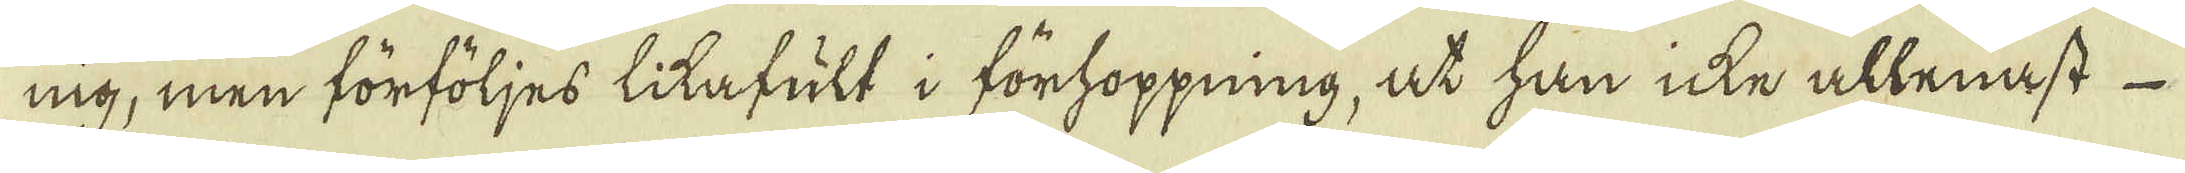nig; men förföljes litafult i förhoppning, at han icke allenast
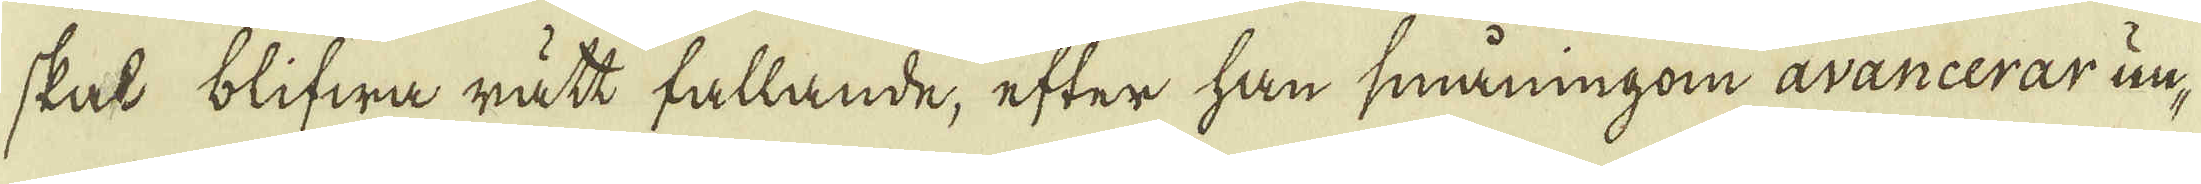skat blifwa rätt fallande, efter han småningan avancerar un-
